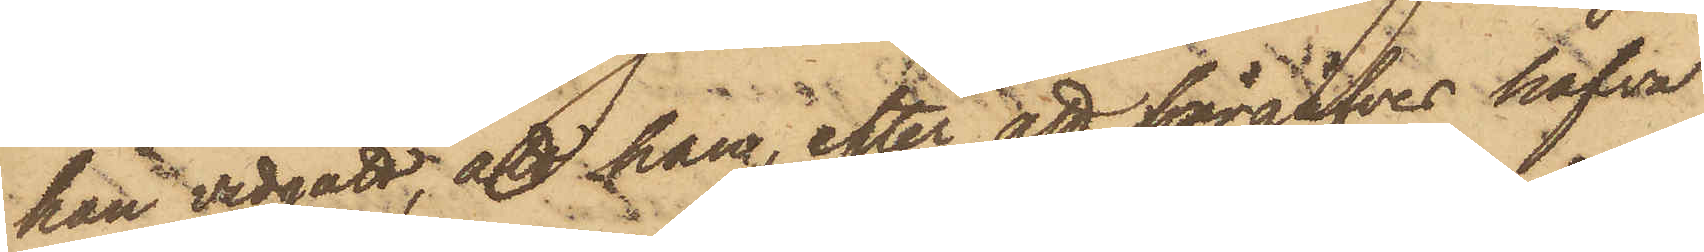han vidgått, att han, efter att förgäfves hafva
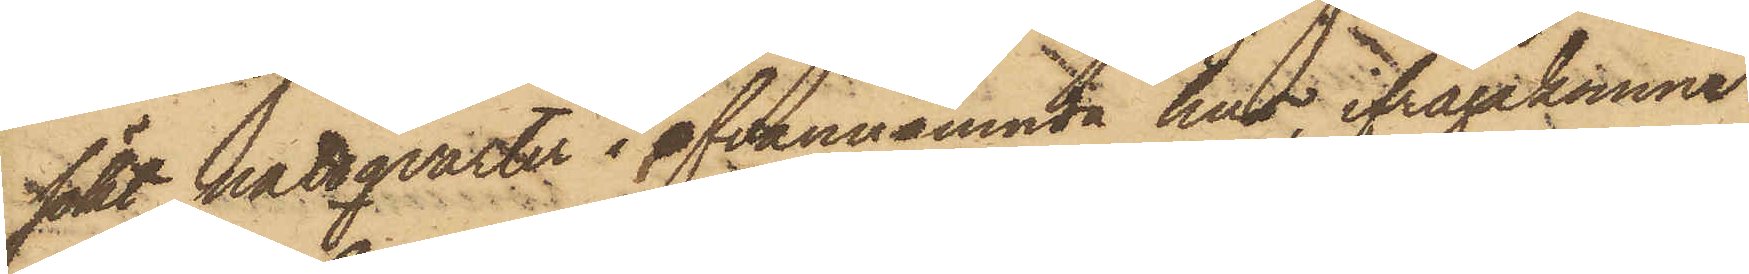sökt nattqvarter i ofvannämnde hus, ifrågakomne
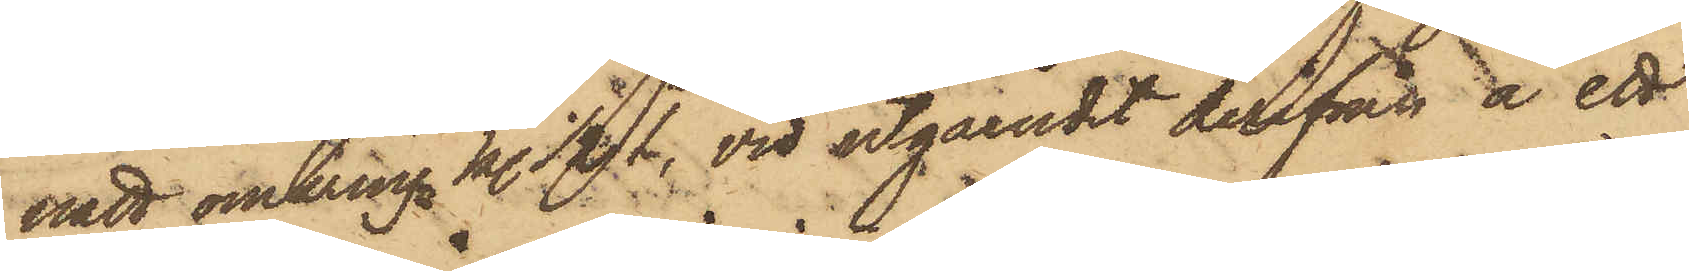natt omkring kl. 1/2 1, vid utgåendet derifrån å ett
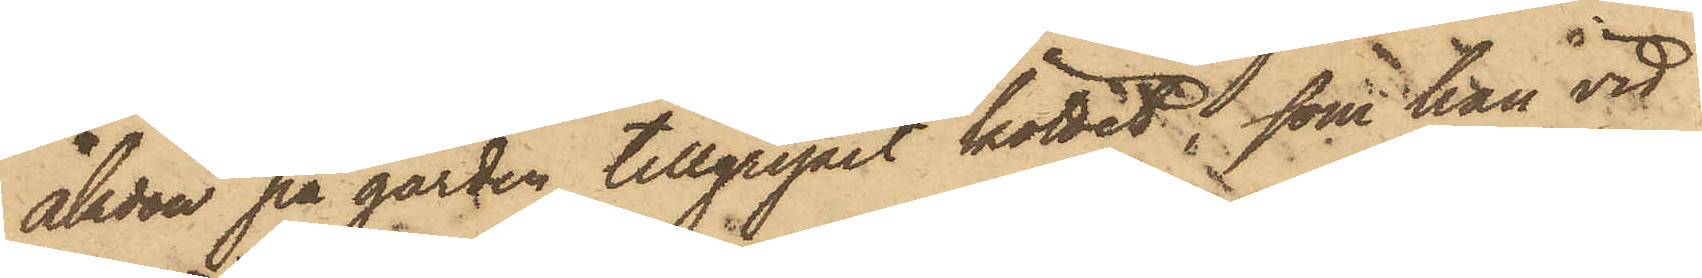åkdon på gården tillgripit köttet, som han vid
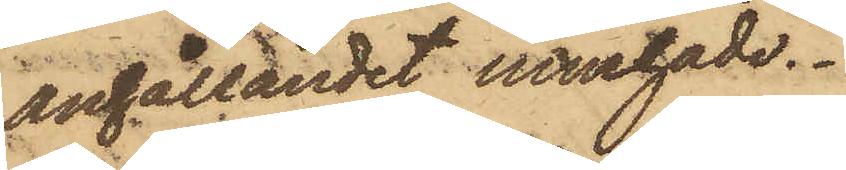anhållandet innehade.
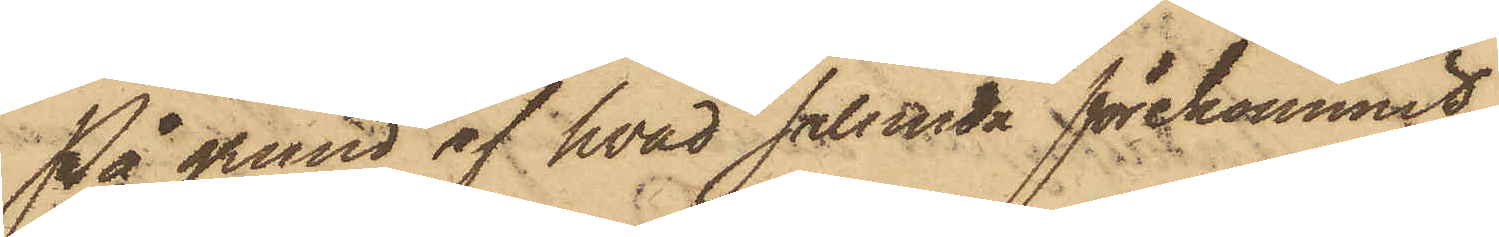På grund af hvad sålunda förekommit,
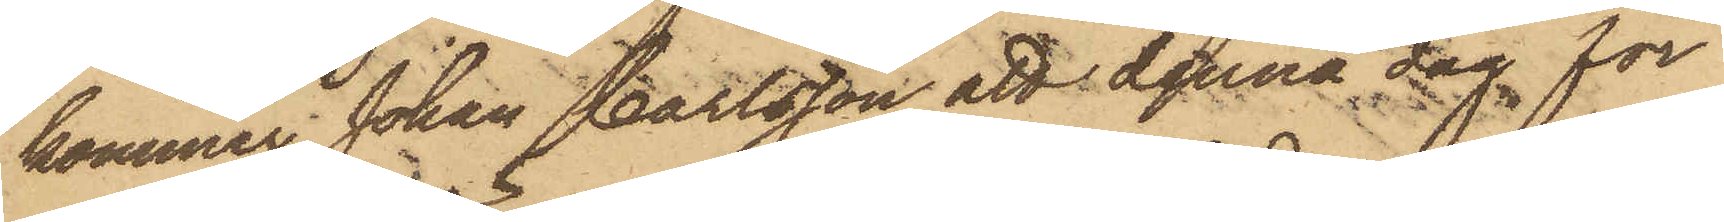kommer Johan Carlsson att denna dag för
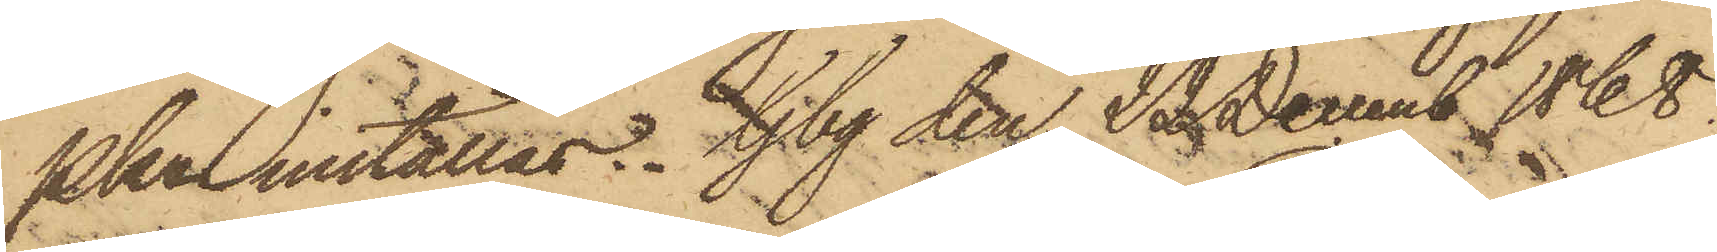Pkn inställas. Gbg den 22 Decemb 1868.
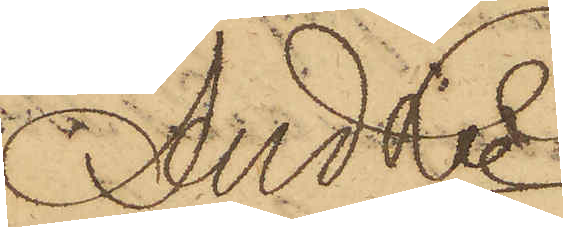And Ln
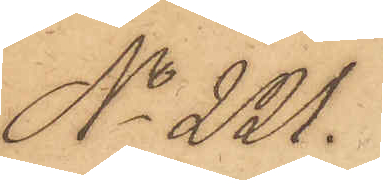No 221.
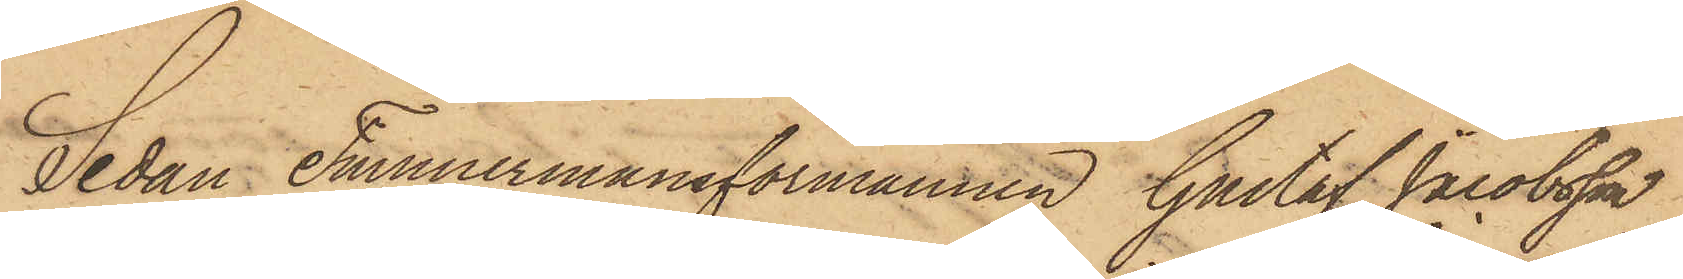Sedan Timmermansförmannen Gustaf Jacobsson
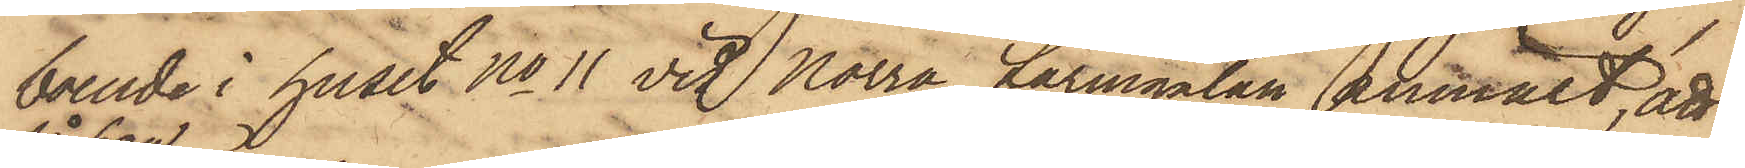boende i huset No 11 vid Norra Larmgatan anmält, att
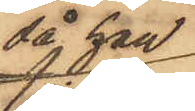då han
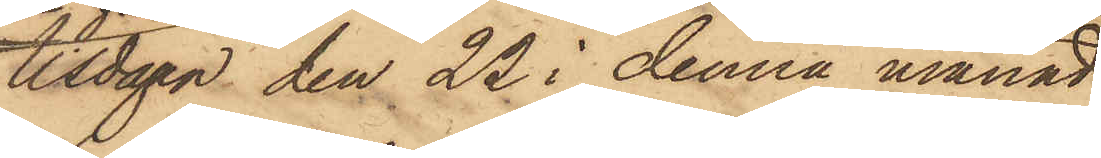tisdagen den 22 i denna månad
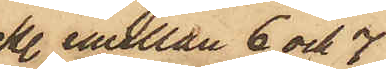kl. emellan 6 och 7
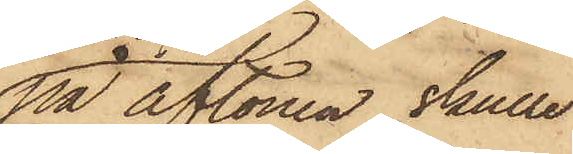på aftonen skulle
